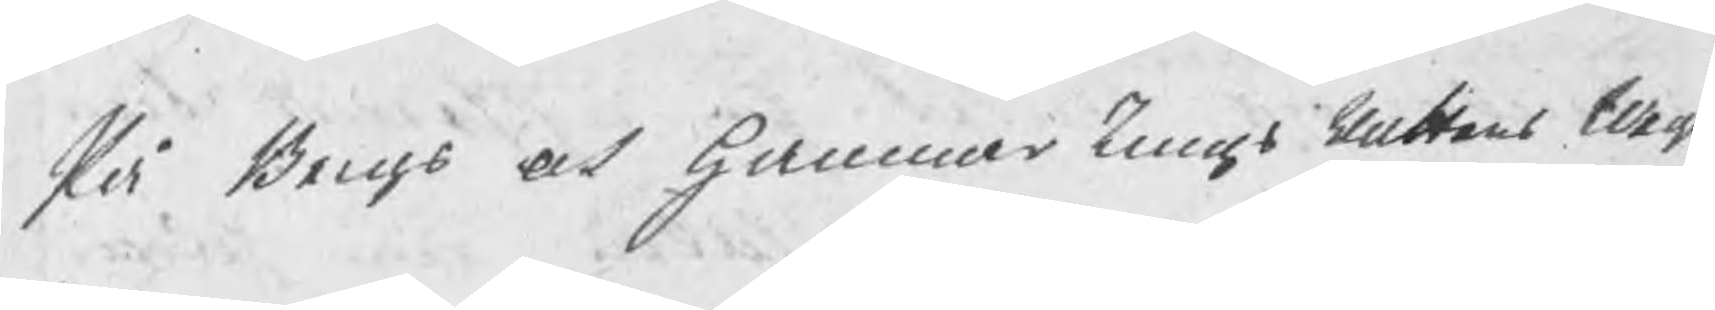På Bergs och HammarTingsRattens tillg
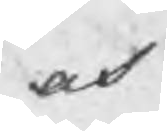och
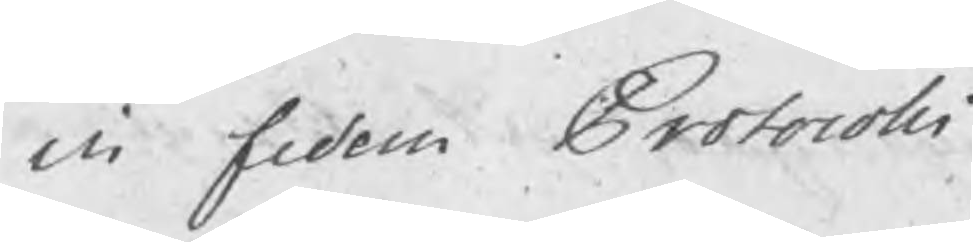in fidem Protocolli
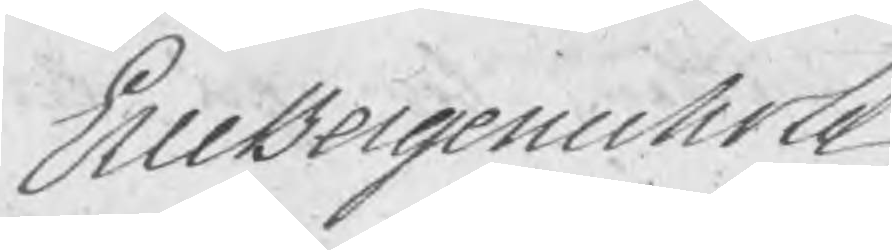EricBergenholtz
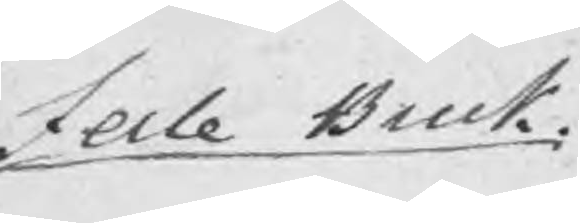Jerle Bruk
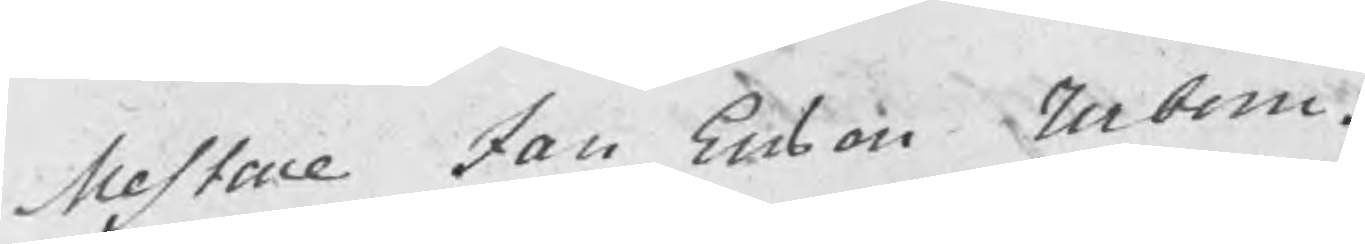Mestare Jan Ersson Urbom.
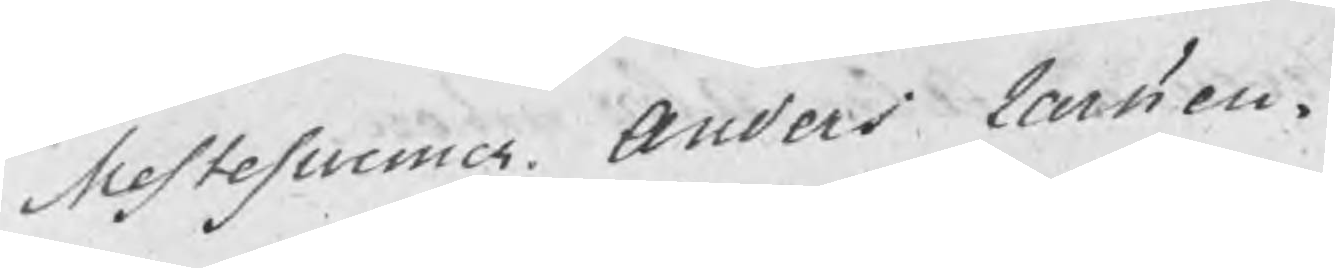Mestesuenner Anders Latsson.
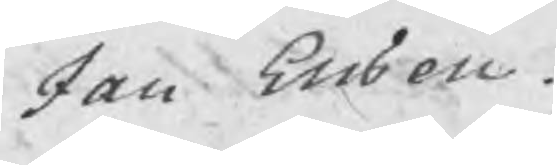Jan Ersson.
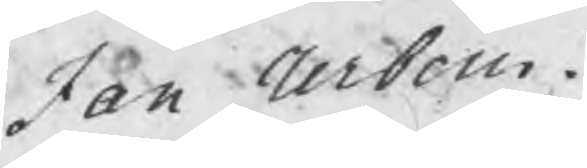Jan Urbom.
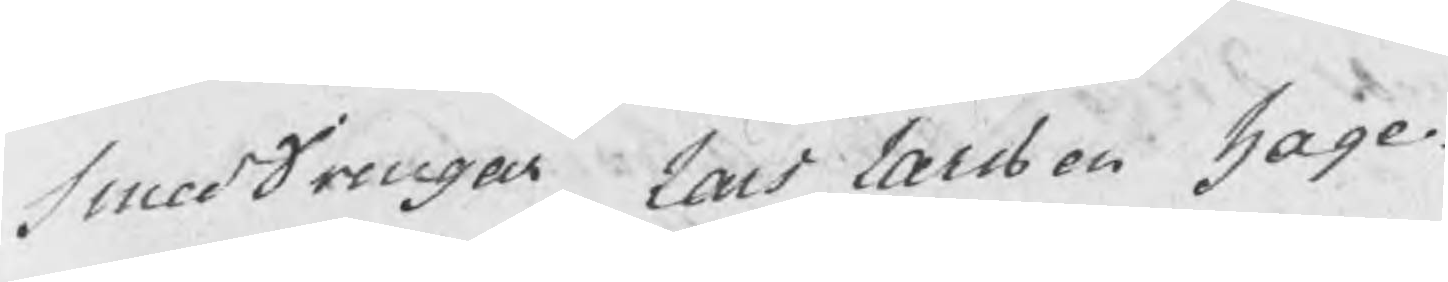Smeddrengar Lars Larsson Hage.
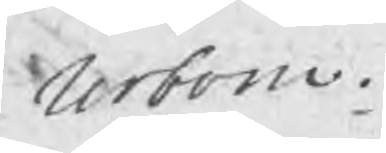Urbom.
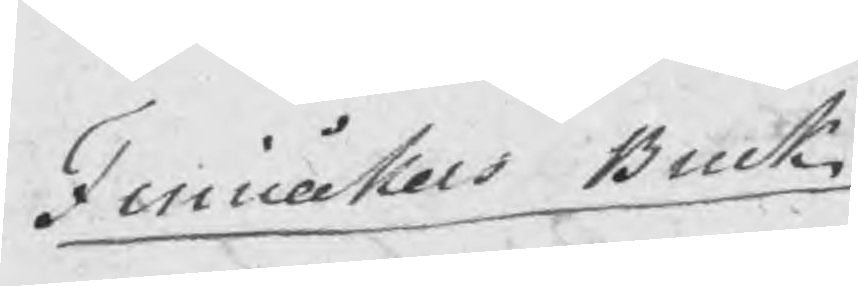Finnåkers Bruk
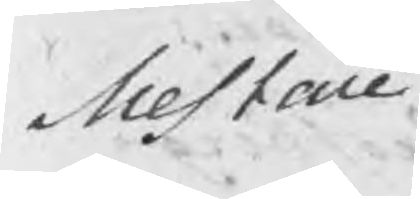Mestare
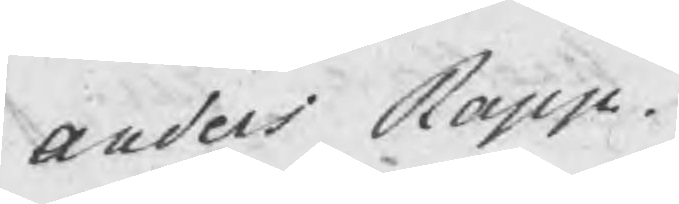Anders Rapp.
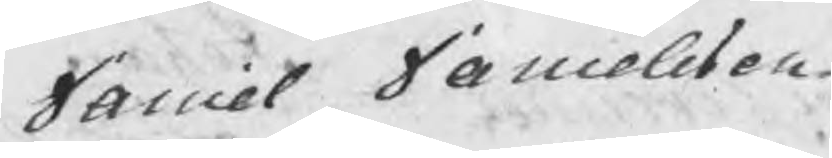Daniel Danielsson.
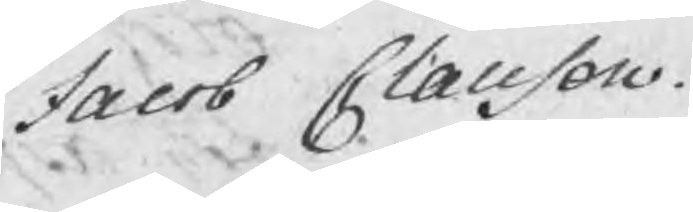Jacob Claesson.
